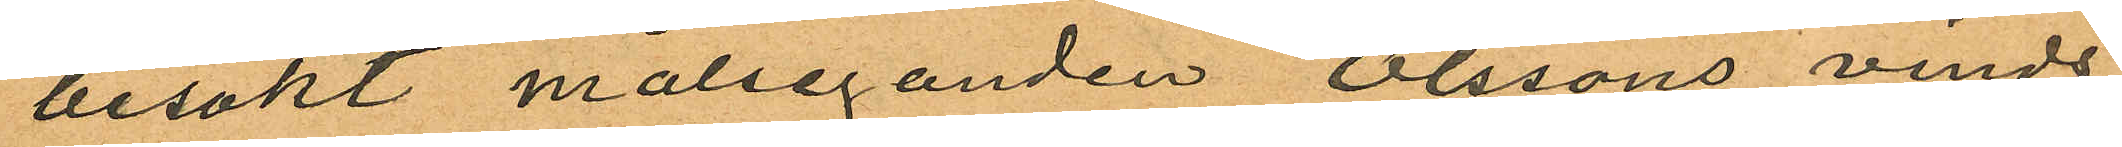besökt målseganden Olssons vinds¬
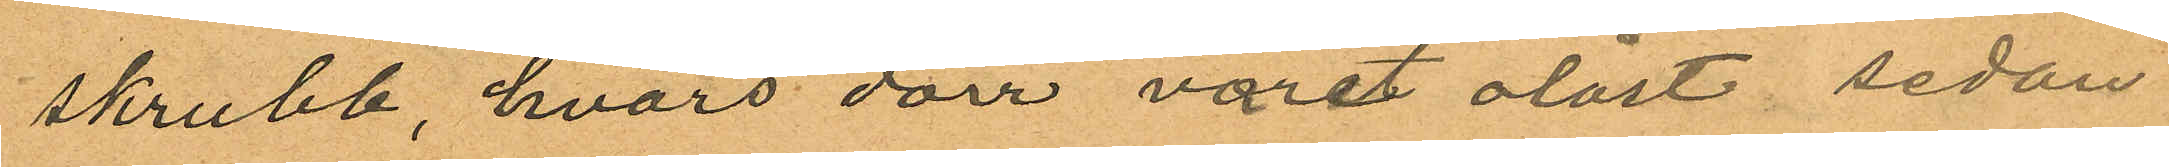skrubb, hvars dörr varit olåst, sedan
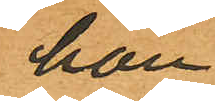han
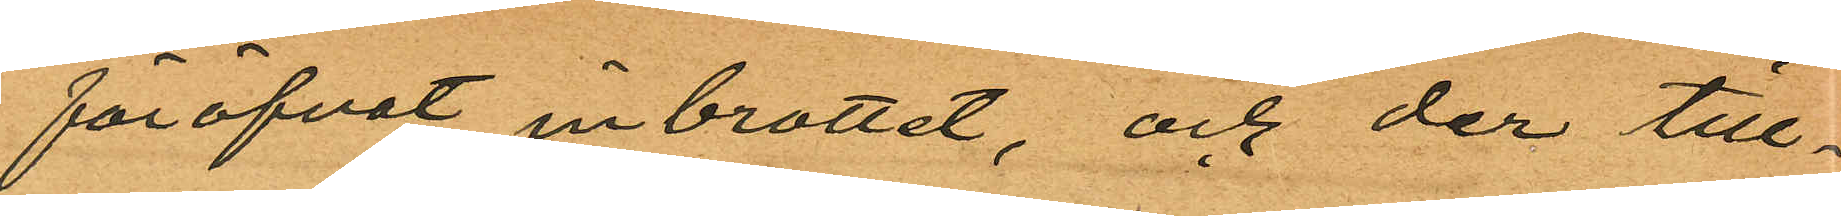föröfvat inbrottet, och der till¬
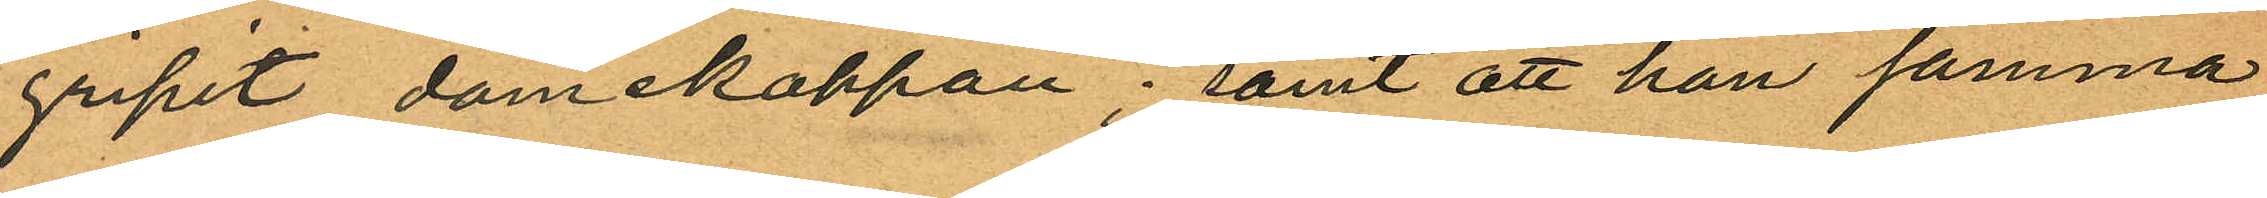gripit damekappan; samt att han samma
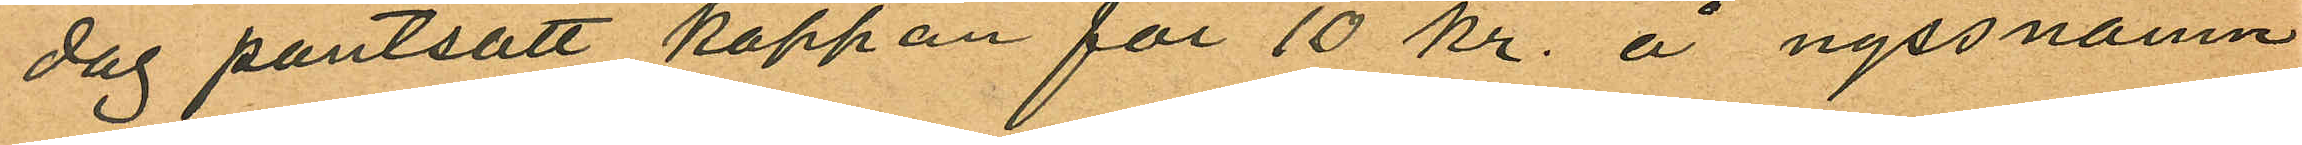dag pantsatt kappan för 10 kr. å nyssnämn¬
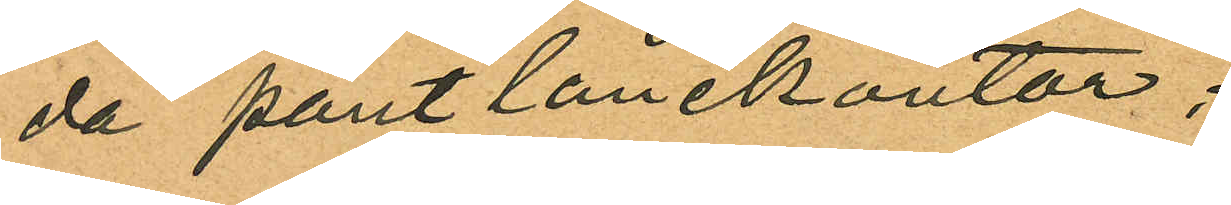da pantlånekontor;
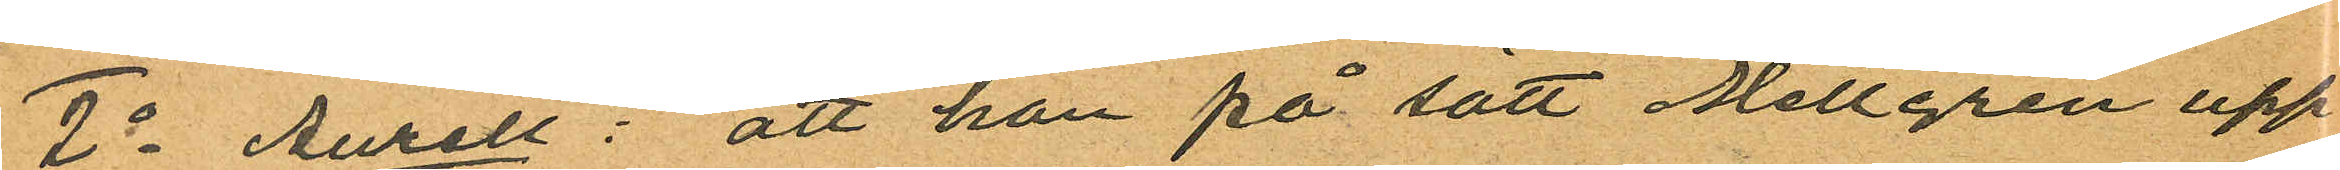2o Aurell: att han på sätt Mellgren upp¬
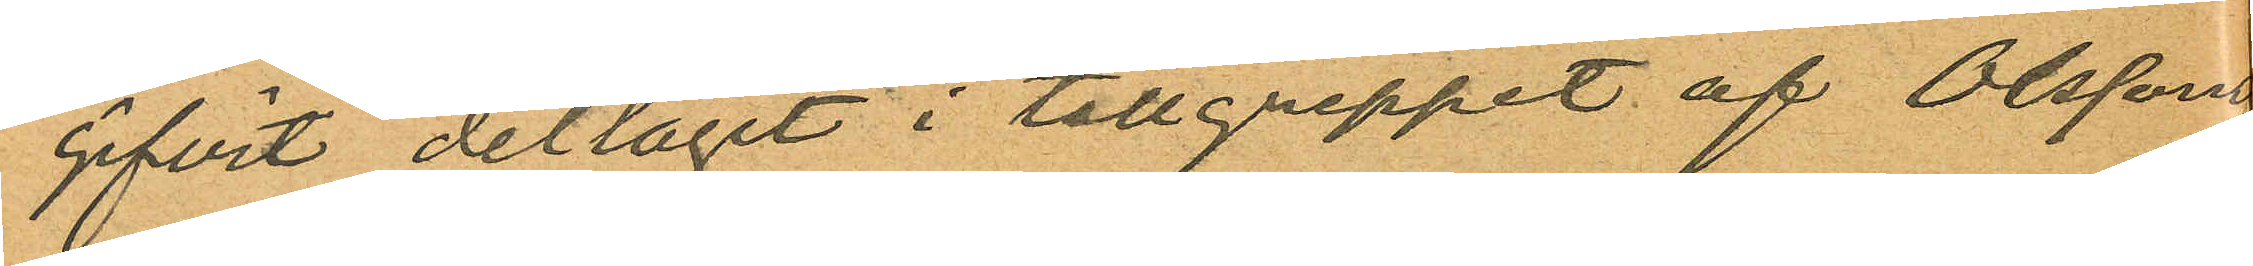gifvit deltagit i tillgreppet af Olssons
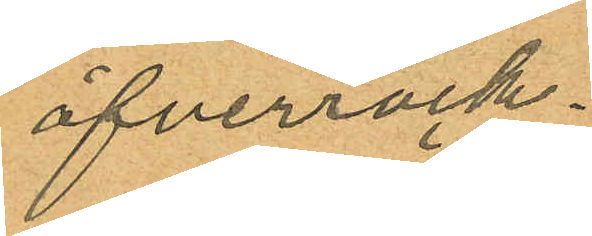öfverrock.
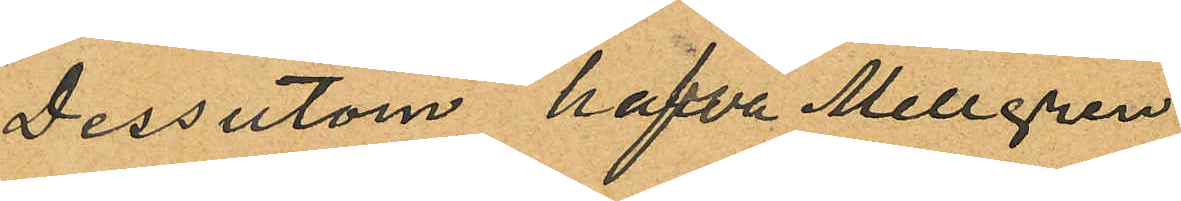Dessutom hafva Mellgren
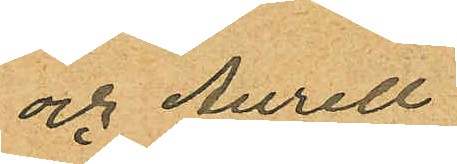och Aurell
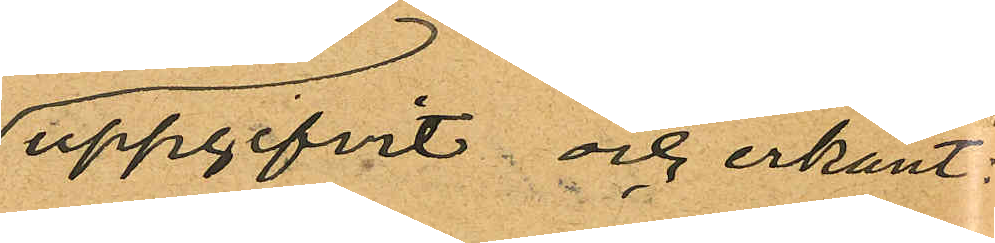uppgifvit och erkänt:
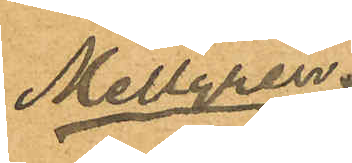Mellgren:
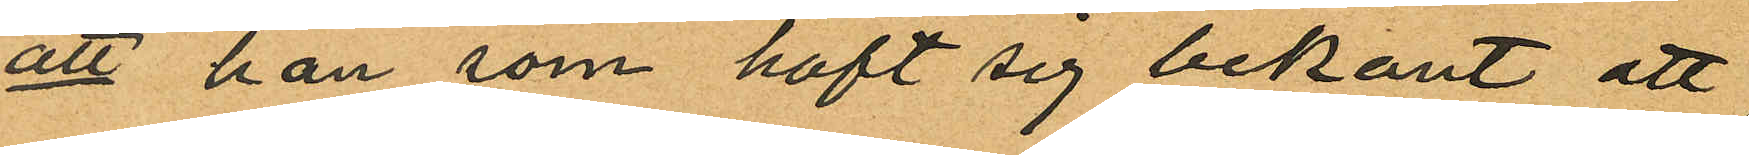att han som haft sig bekant att
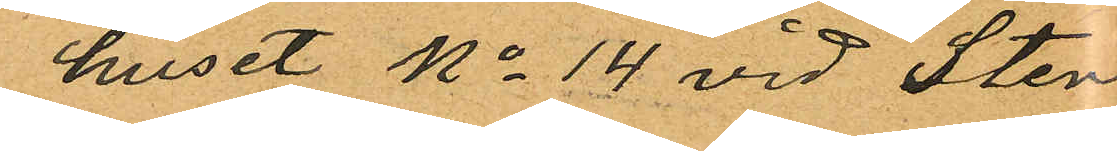huset No 14 vid Sten
